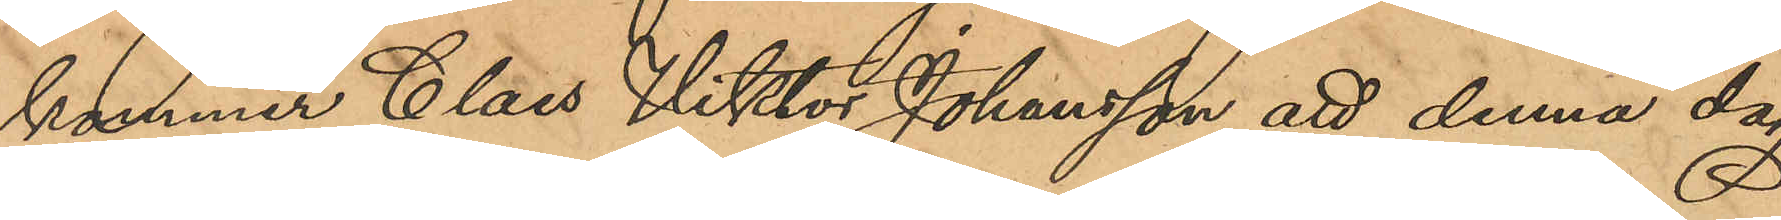kommer Claes Viktor Johansson att denna dag
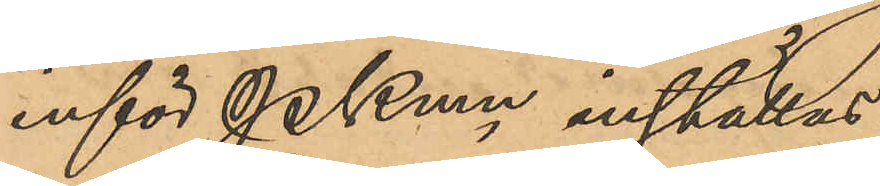inför PKmn inställas.
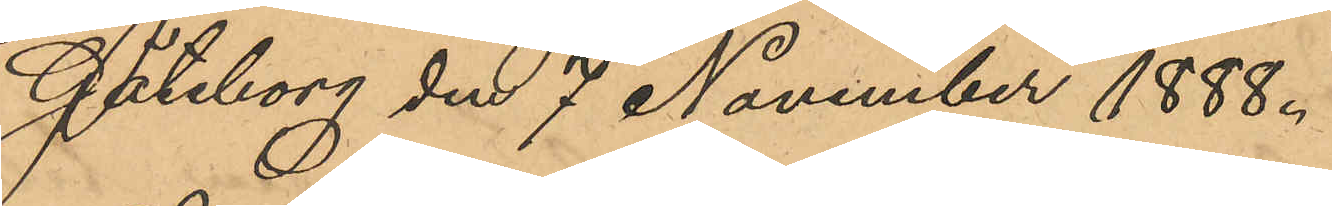Göteborg den 7 November 1888.
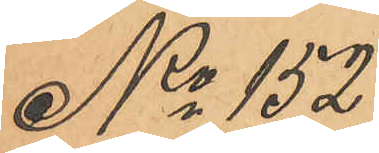No 152
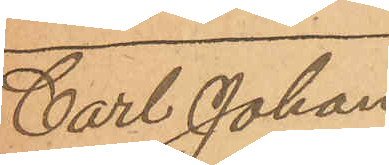Carl Johan
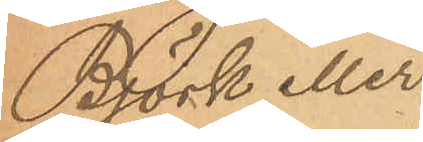Björk eller
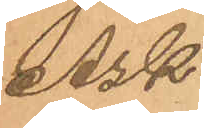Ask.
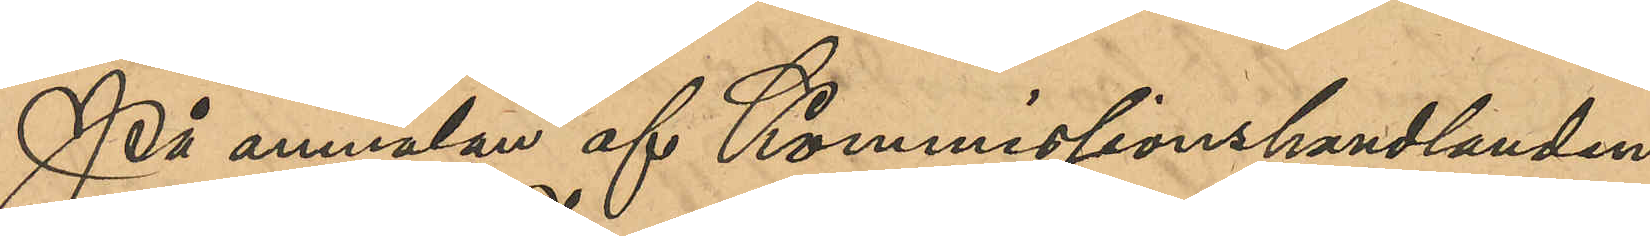På anmälan af Kommissionshandlanden
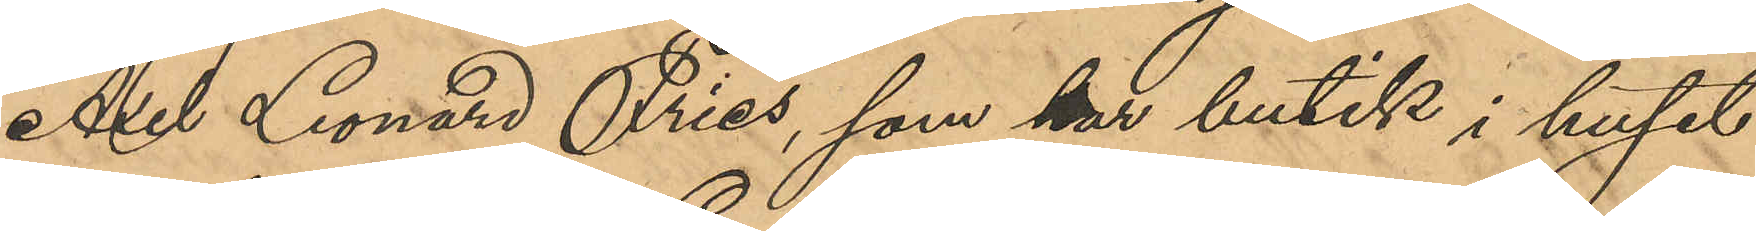Axel Leonard Fries, som har butik i huset
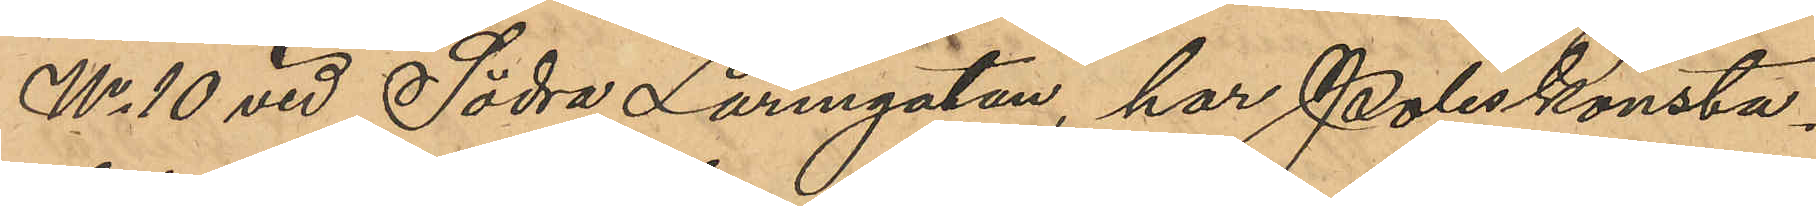No 10 vid Södra Larmgatan, har Poliskonsta¬
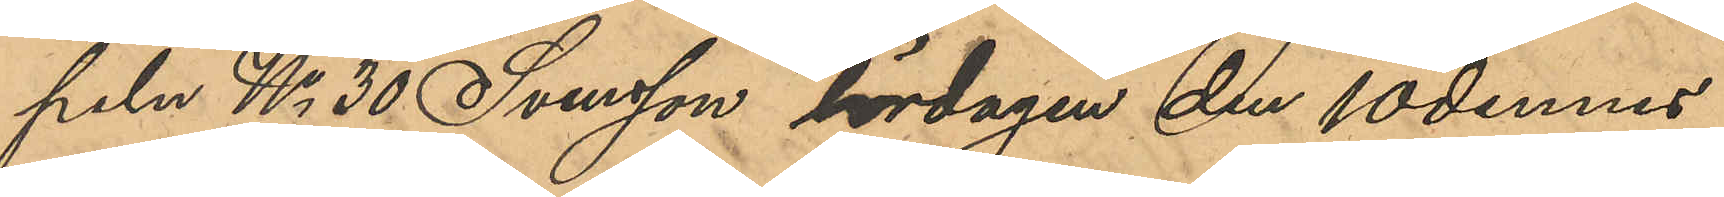peln No 30 Svensson lördagen den 10 dennes
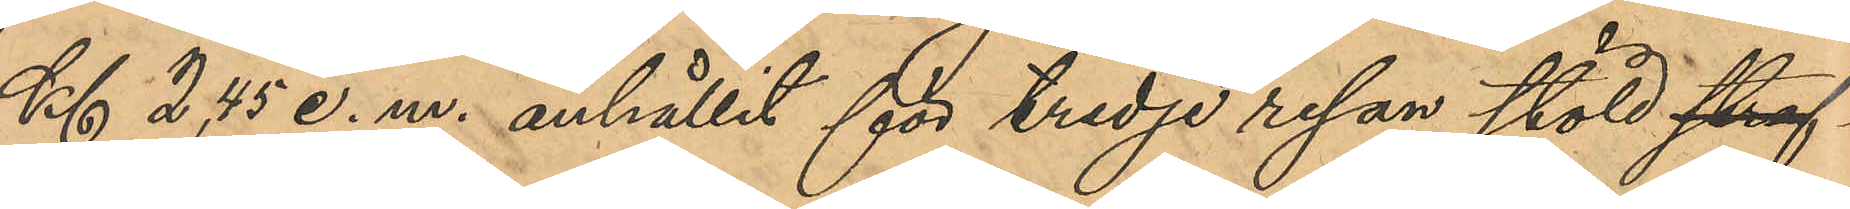Kl 2,45 e. m. anhållit för tredje resan stöld straf¬
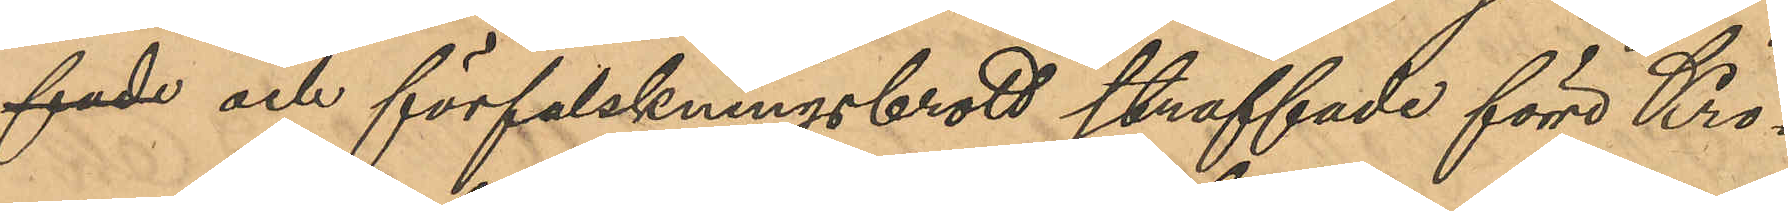fade och förfalskningsbrott straffade förre Kro¬
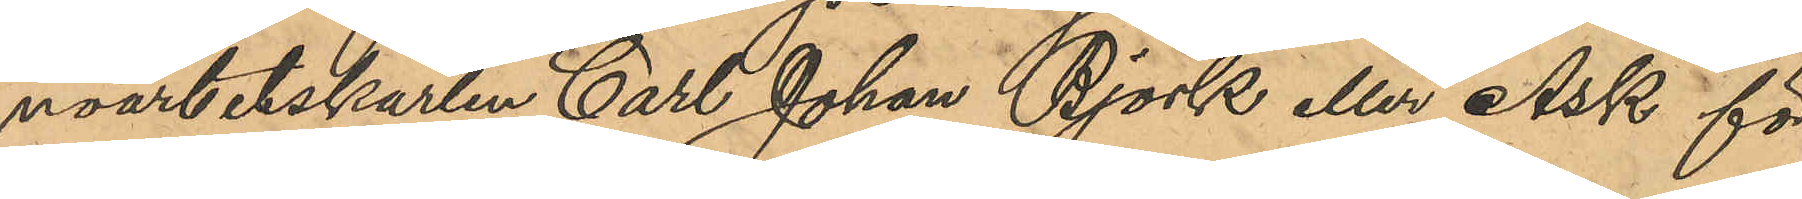noarbetskarlen Carl Johan Björk eller Ask för
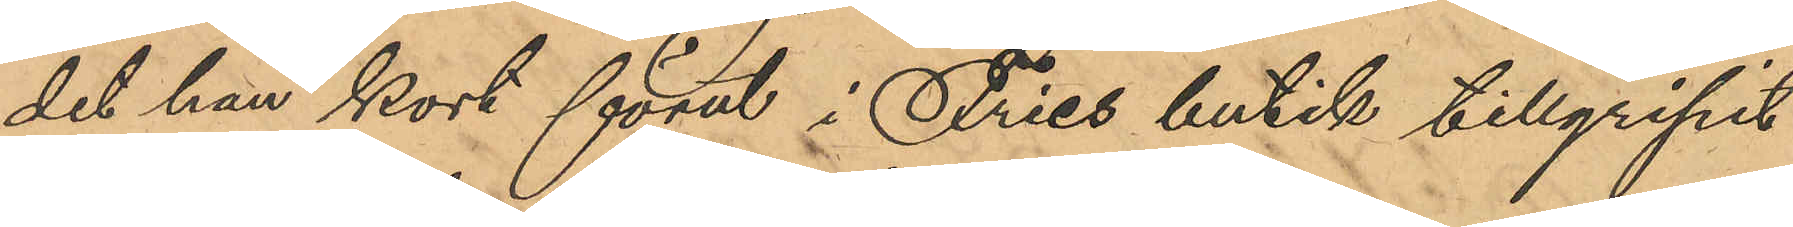det han kort förut i Fries butik tillgripit
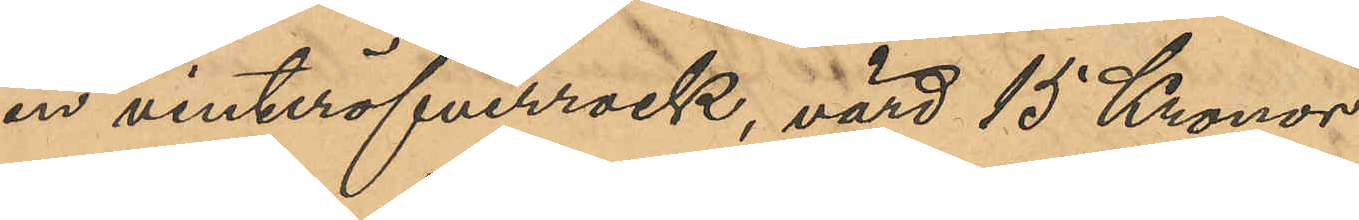en vinteröfverrock, värd 15 Kronor.
